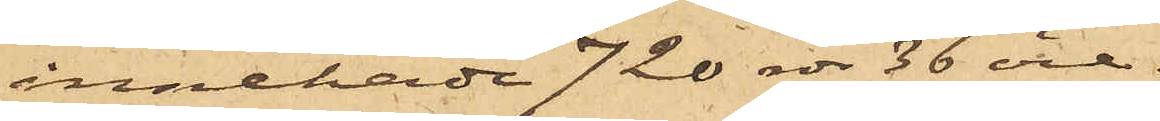innehade 720 rdr 36 öre.
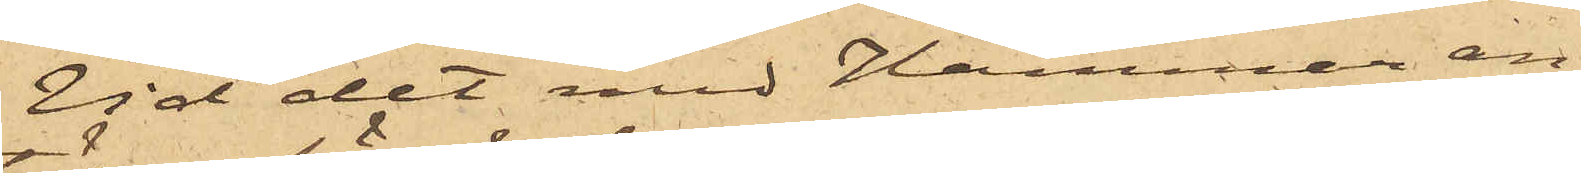Vid det med Hammar an¬
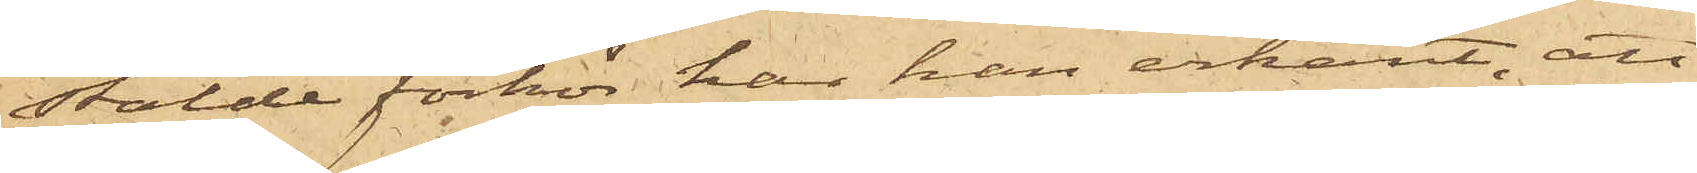stälde förhör har han erkänt, att
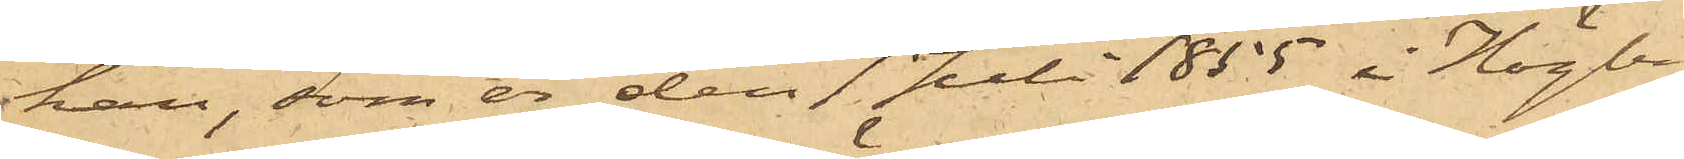han, som är den 7 Juli 1855 i Högby
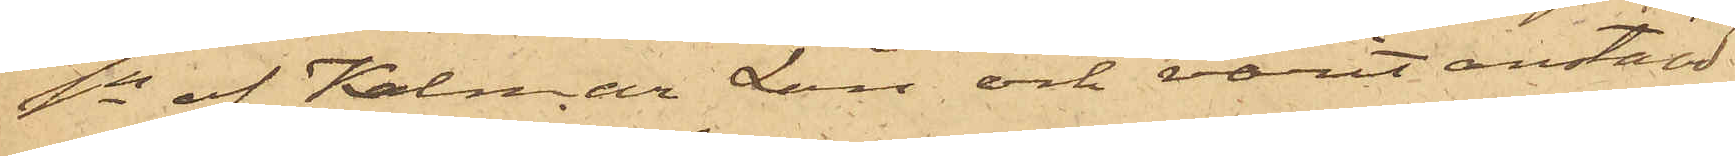Sn af Kalmar Län och varit anstäld
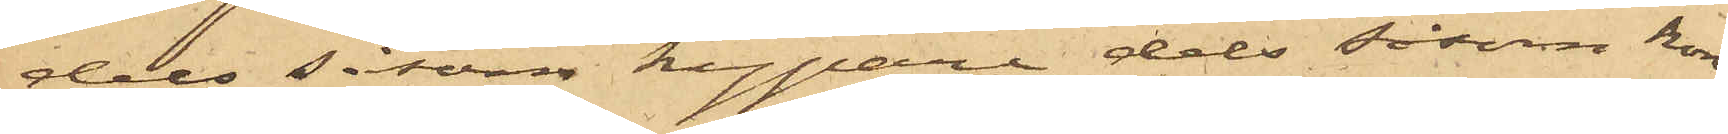dels såsom kypare dels såsom kon¬
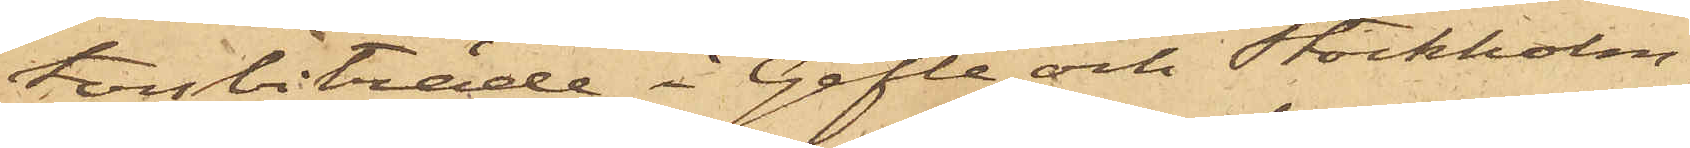torsbiträde i Gefle och Stockholm,
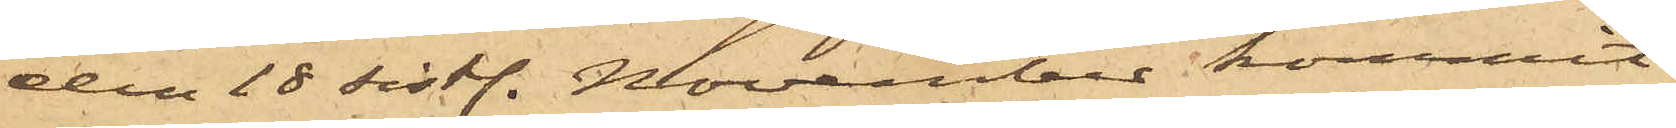den 18 sist. November kommit
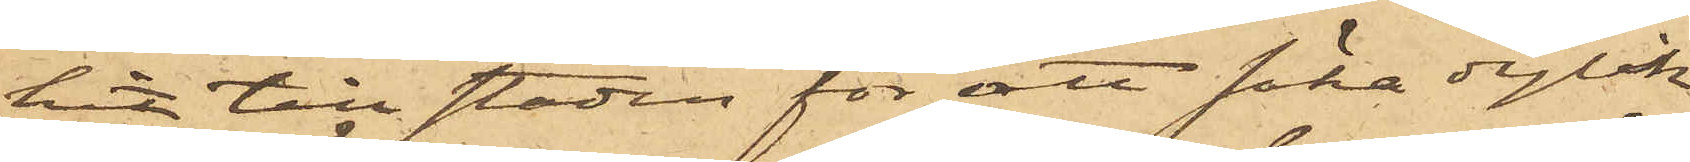hit till staden för att söka dylik
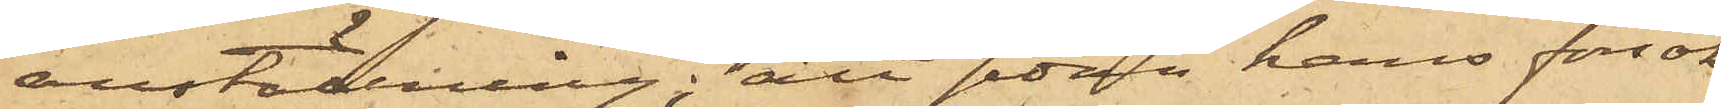anställning; att som hans försök
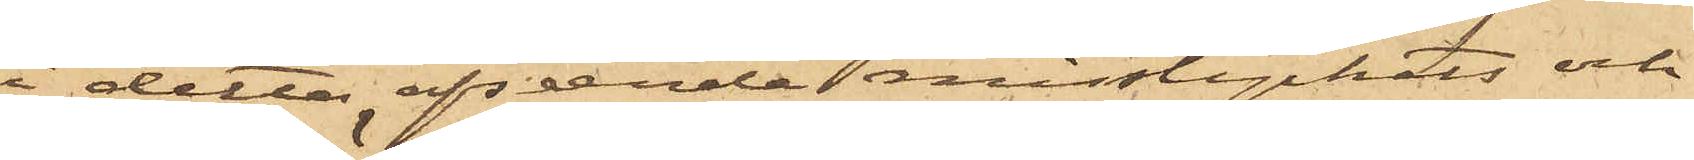i detta afseende  misslyckats och
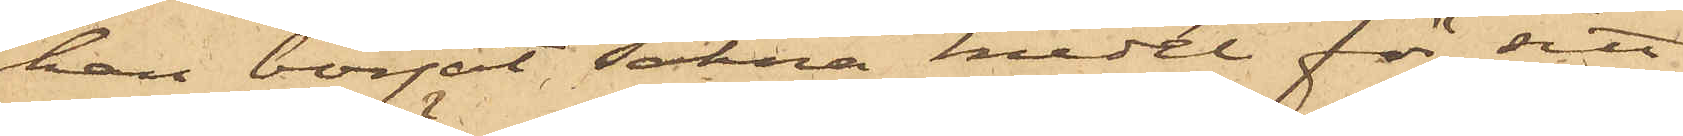han börjat sakna medel för sitt
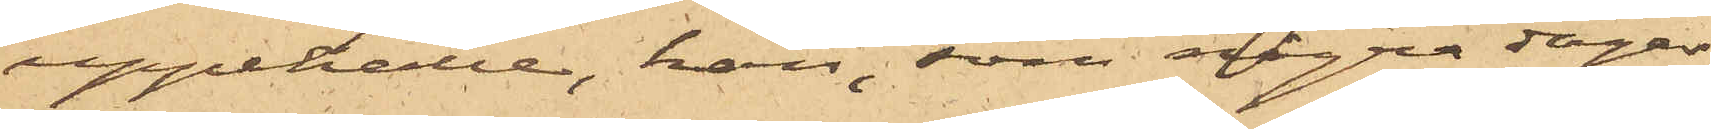uppehälle, han, som några dagar
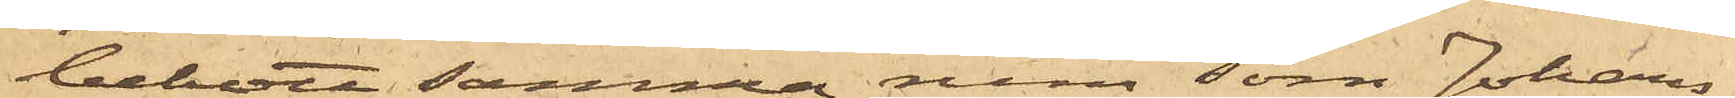bebott samma rum som Johans¬
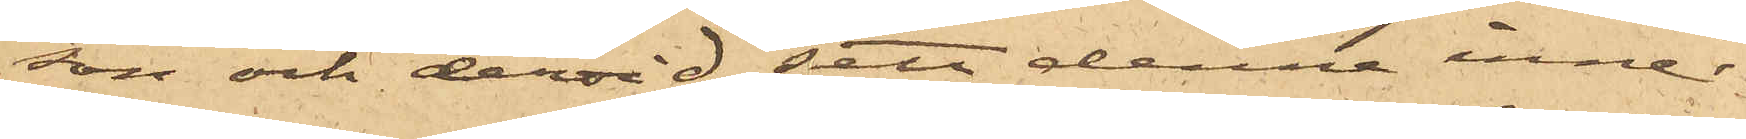son och dervid sett denne inne¬
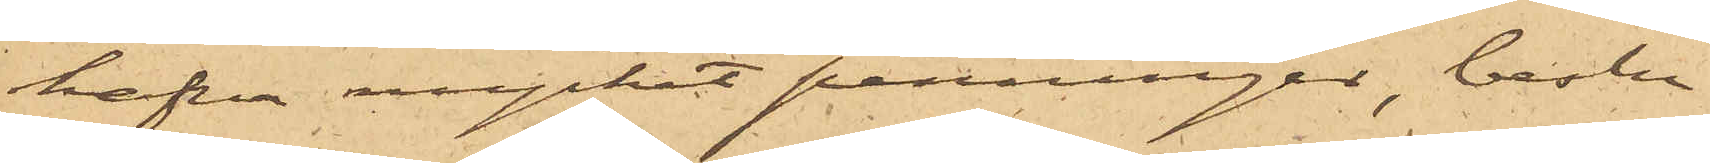hafva mycket penningar, beslu¬
